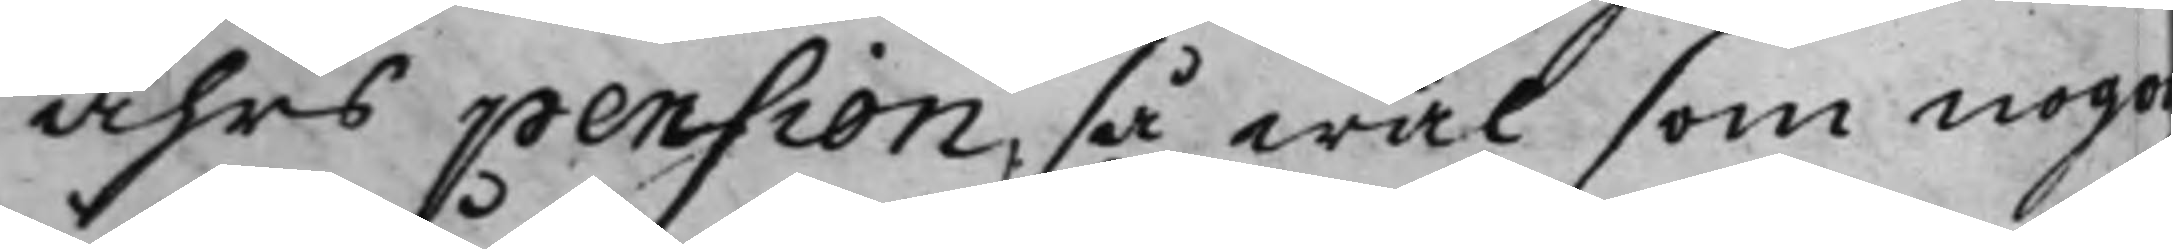Åhrs pension, så wäl som nogon
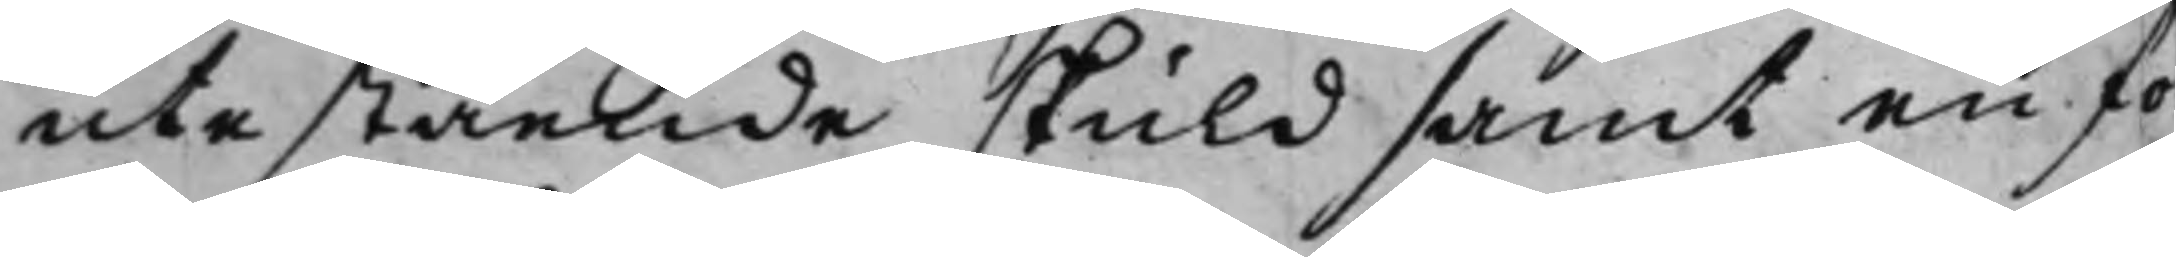utestående skuld samt en for¬
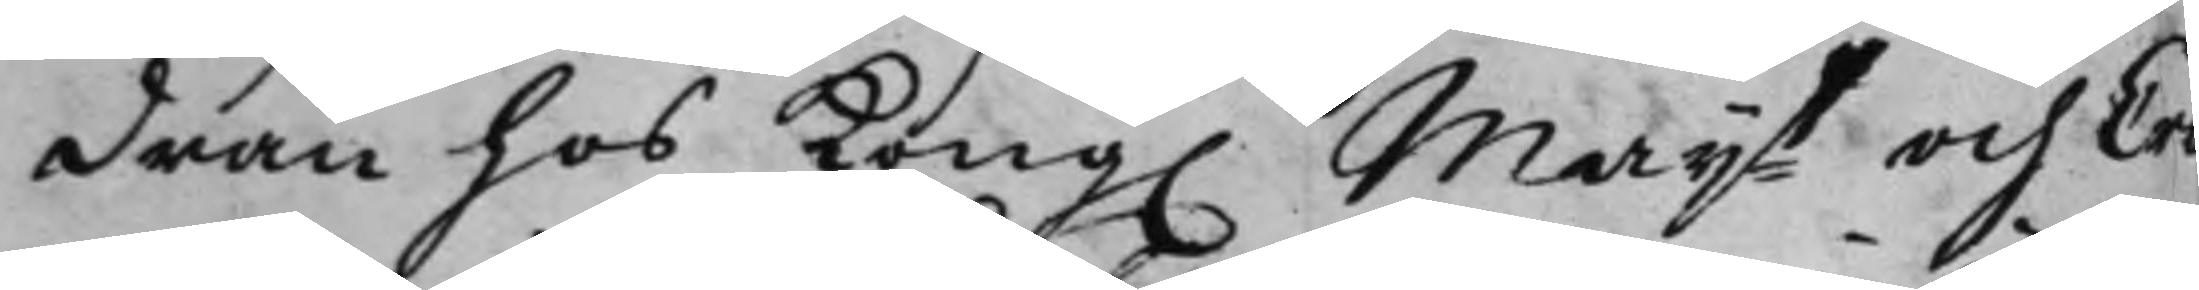dran hos Kong. Maijt och Cro¬
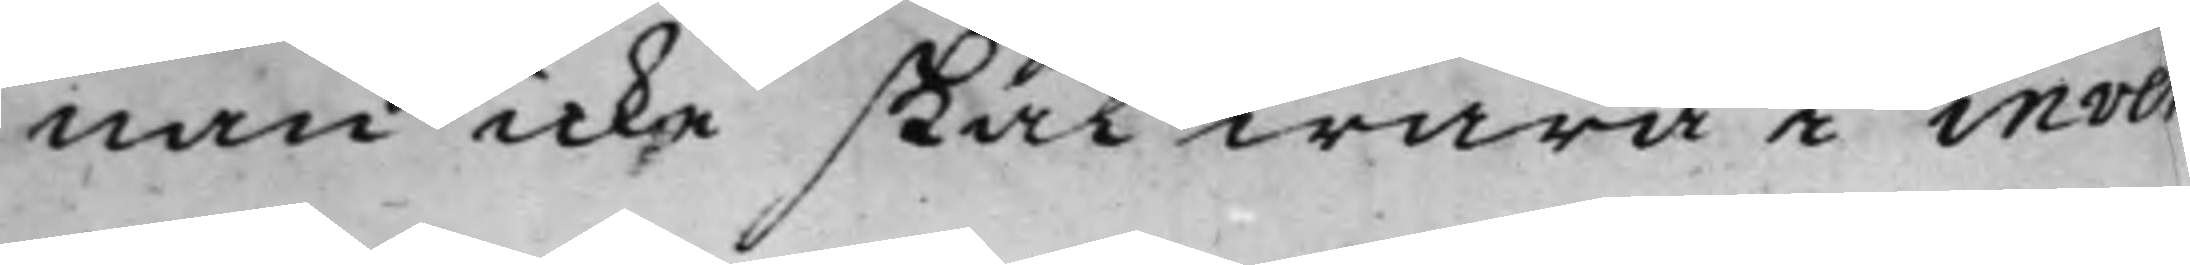nan icke skal wara i inven¬
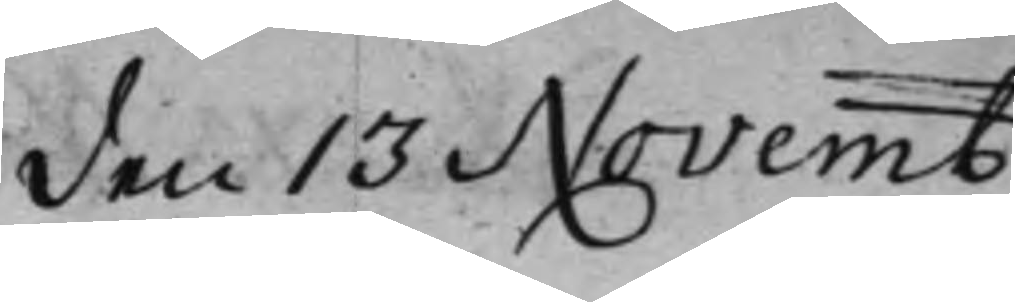den 13 Novemb:
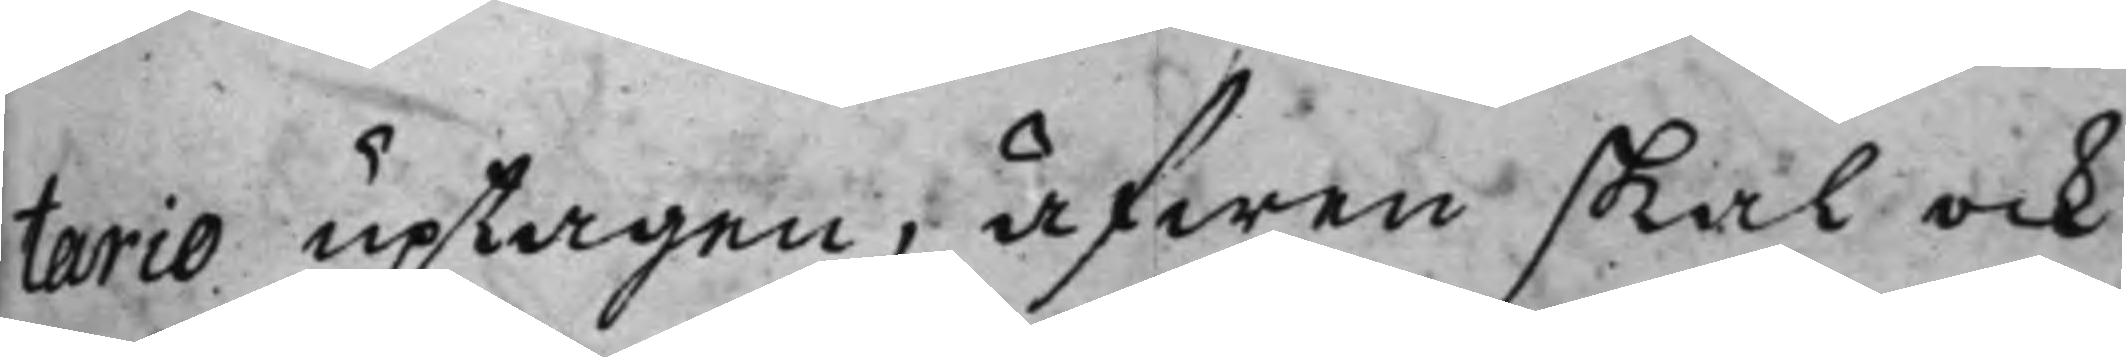tario uptagen, äfwen skal ock
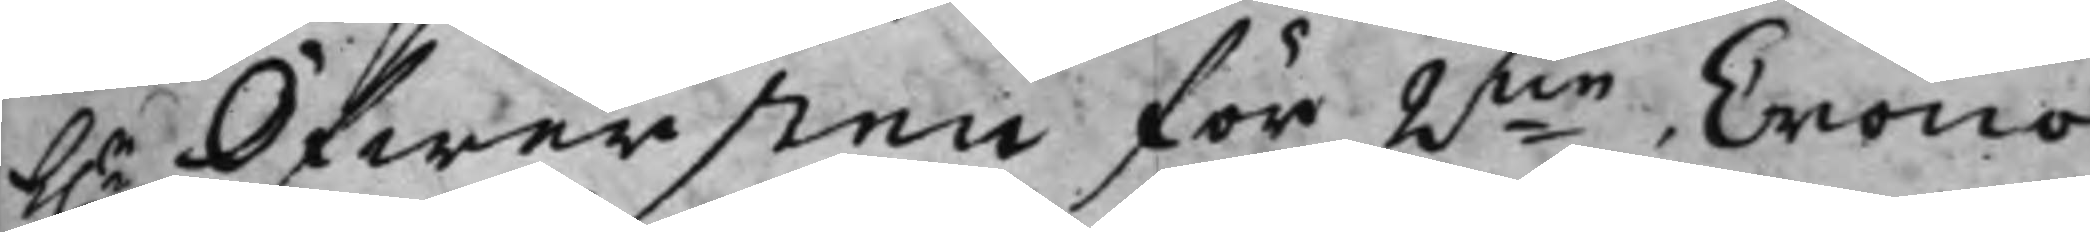h.r Öfwersten för 2ne Crono¬
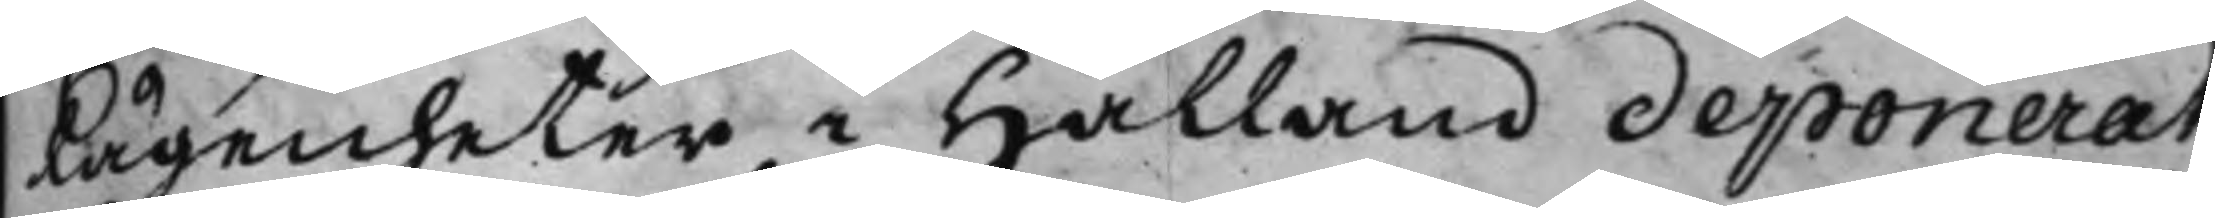Lägenheter i Halland deponerat
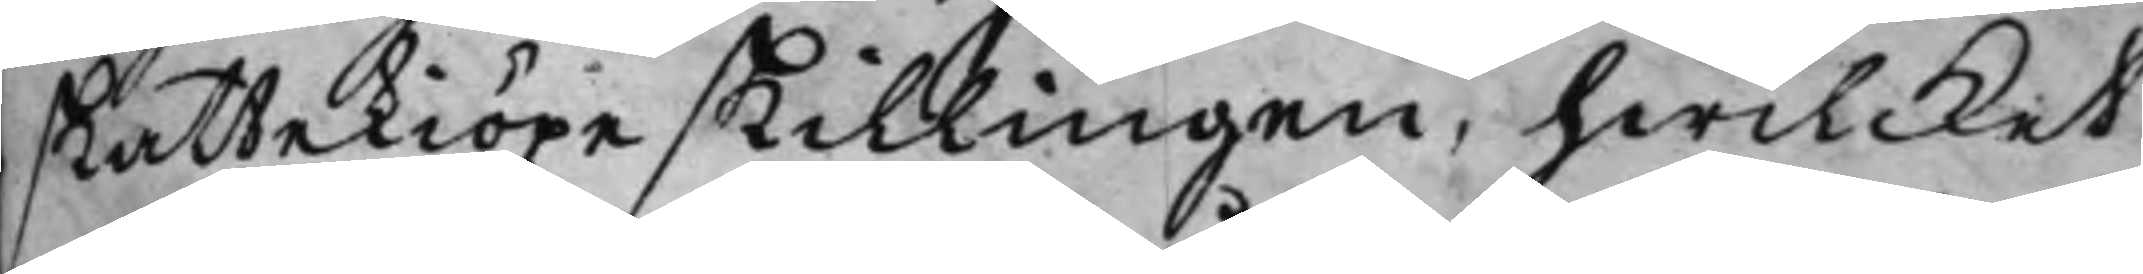skattekiöpe skillingen, hwilcket
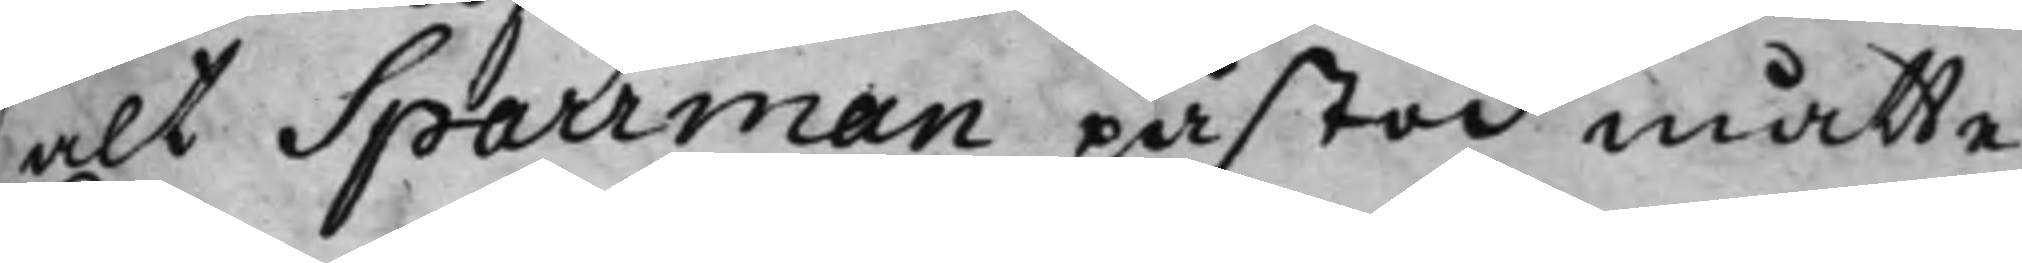alt Sparrman påstod måtte
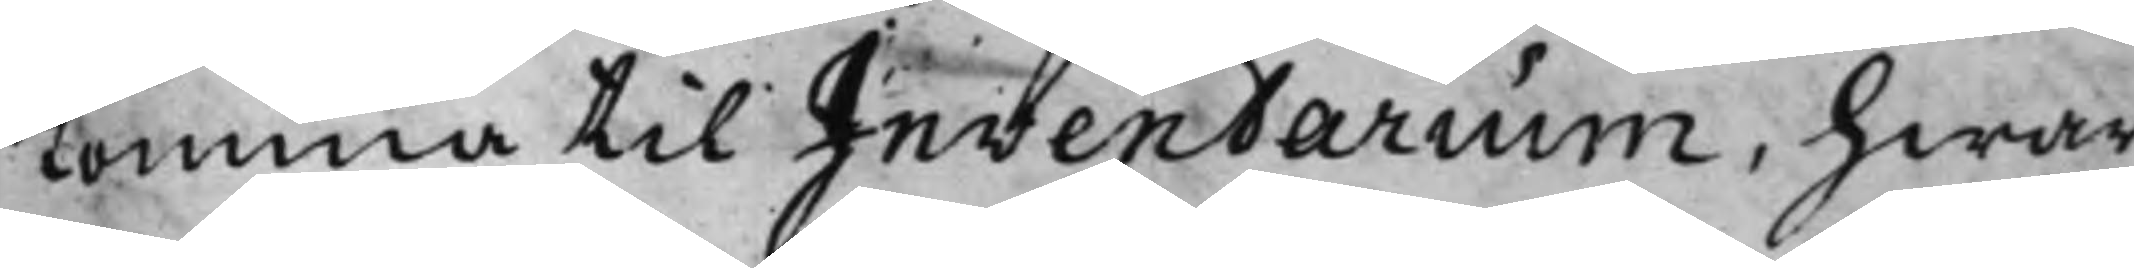Komma til Inventarium, hwar¬
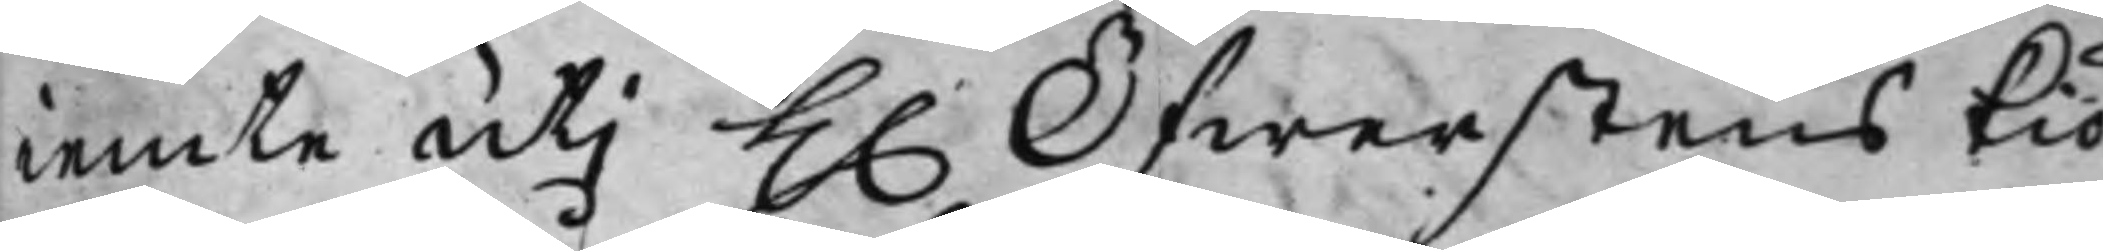iemte uti H. Öfwerstens Kiö¬
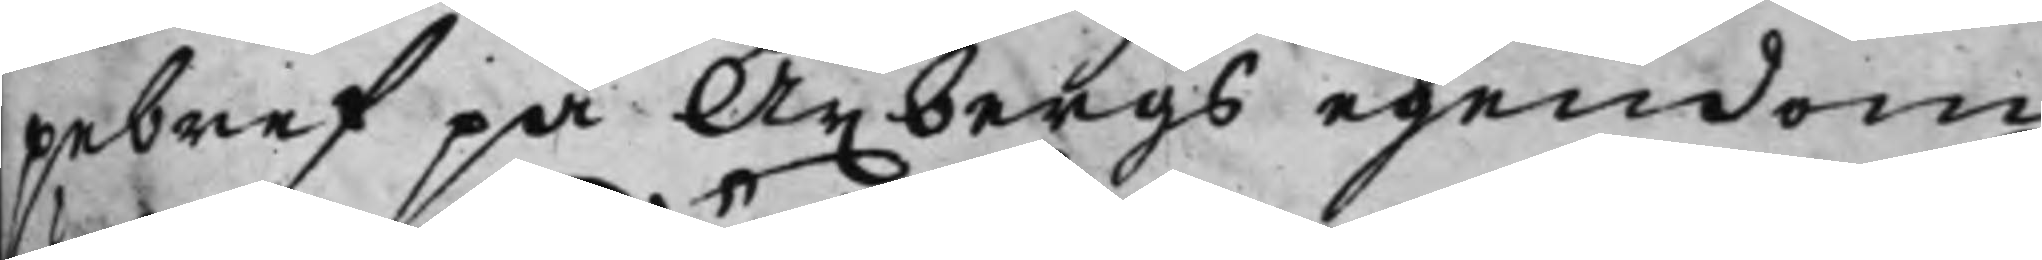pebref på Axbergs egendom
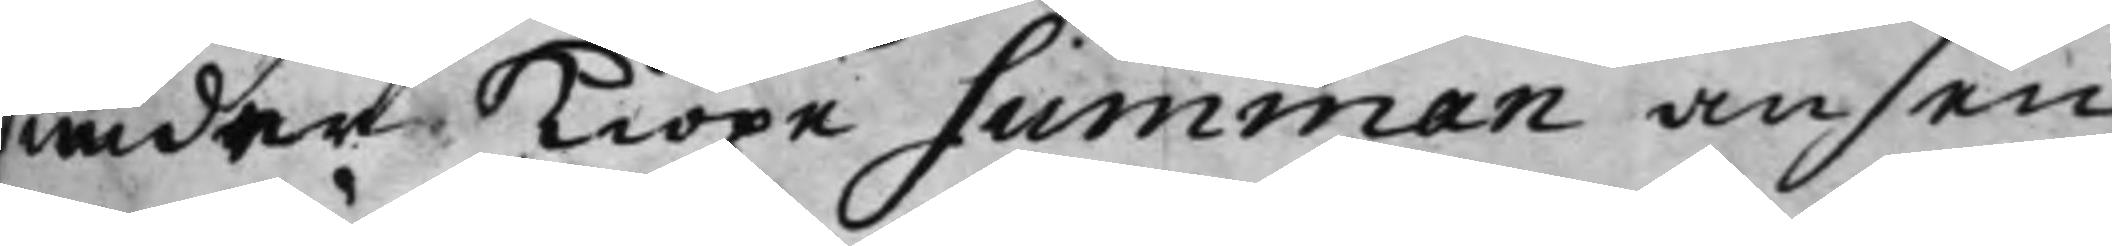under Kiöpe summan ansen¬
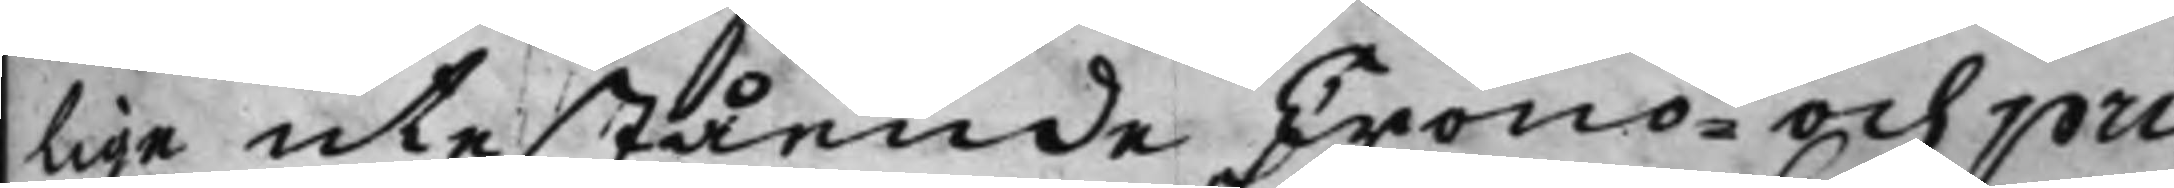lige utestående Crono¬ och pri¬
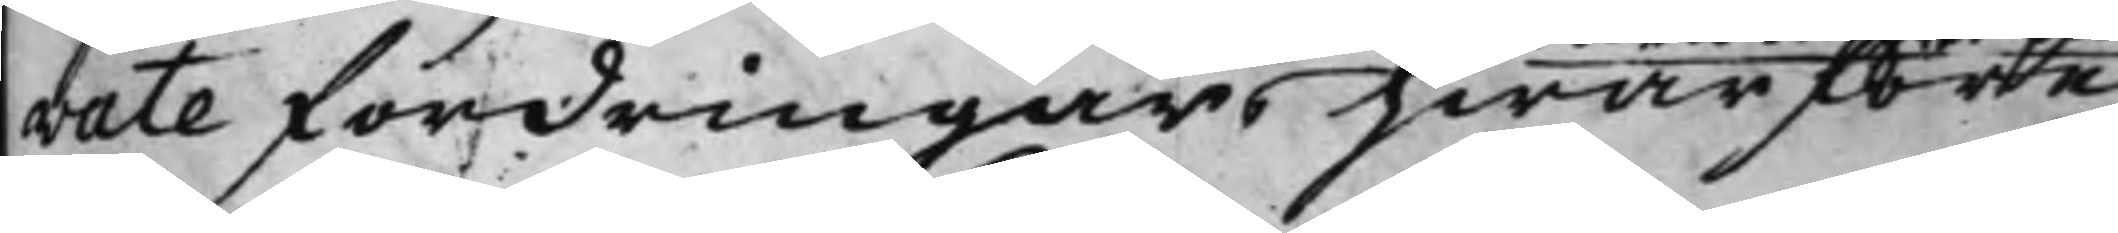vate fordringar, hwarföre
